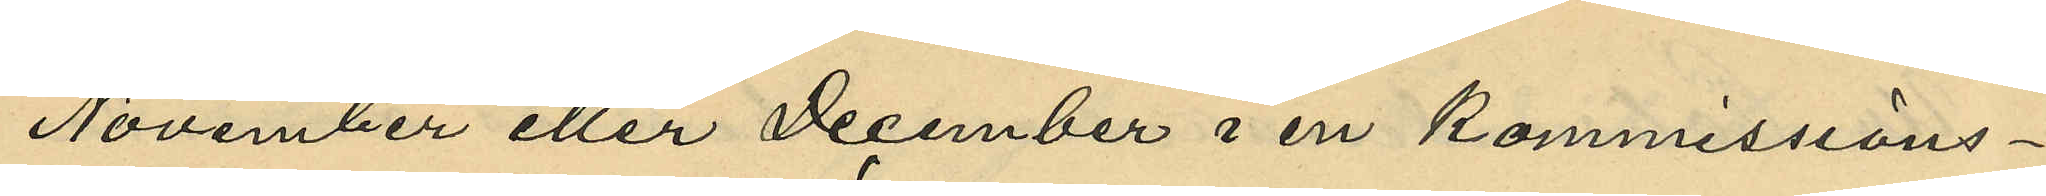November eller December i en kommissions¬
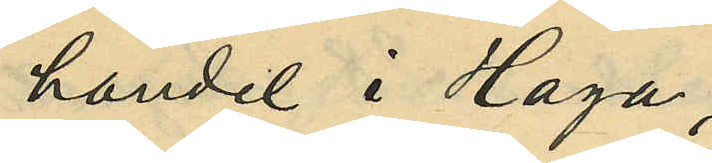handel i Haga;
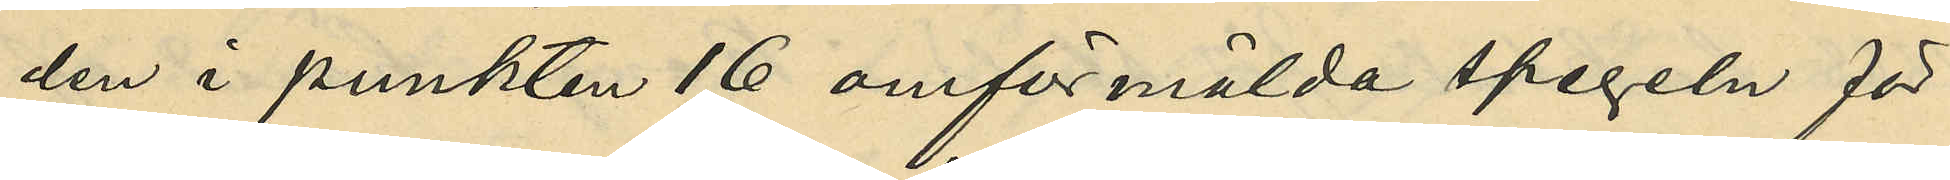den i punkten 16 omförmälda spegeln för
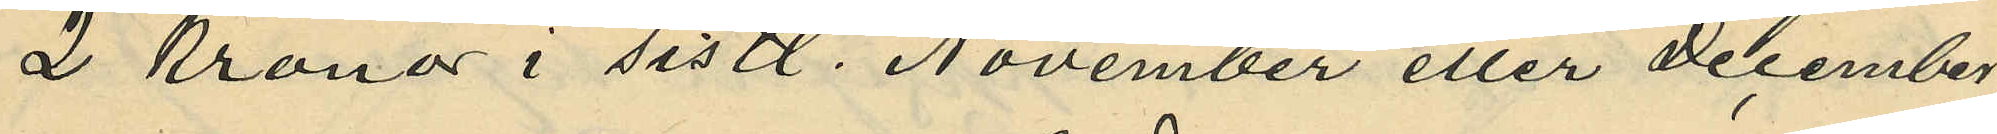2 Kronor i sistl. November eller December
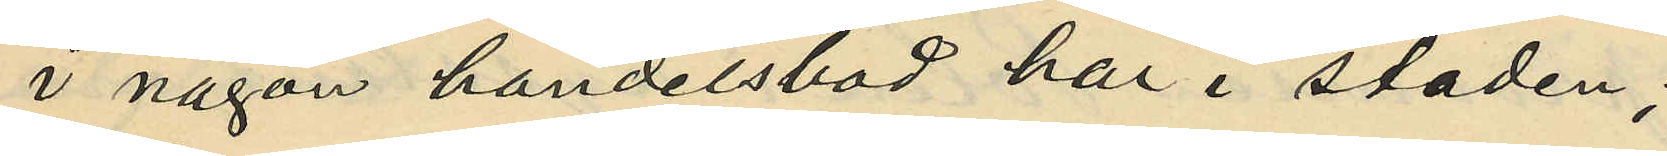i någon handelsbod här i staden;
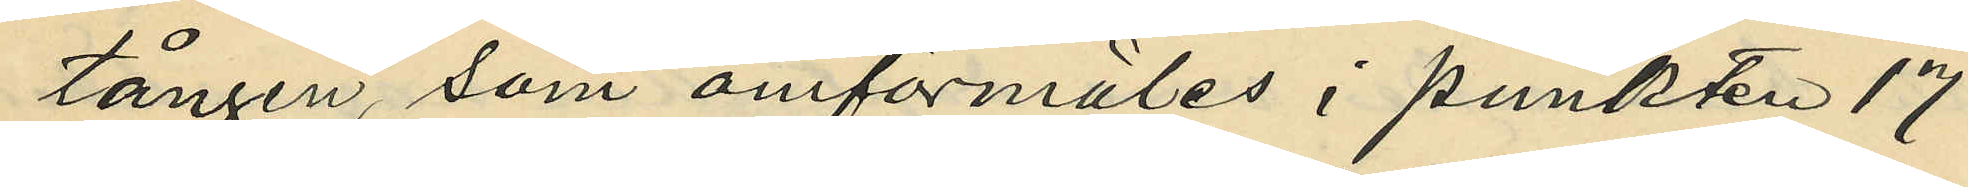tången, som omförmäles i punkten 17
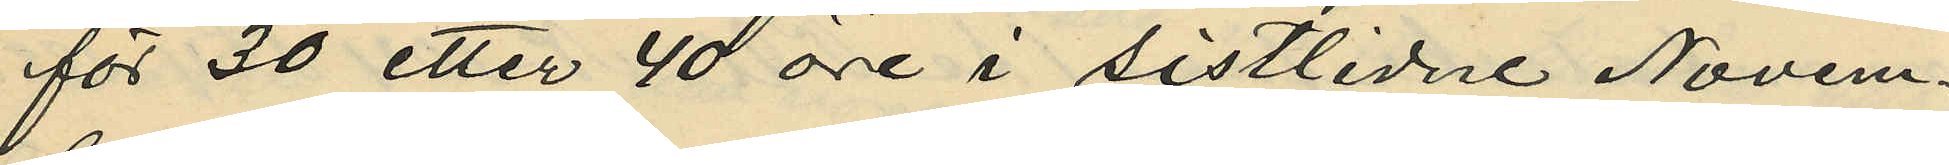för 30 etter 40 öre i sistlidne Novem¬
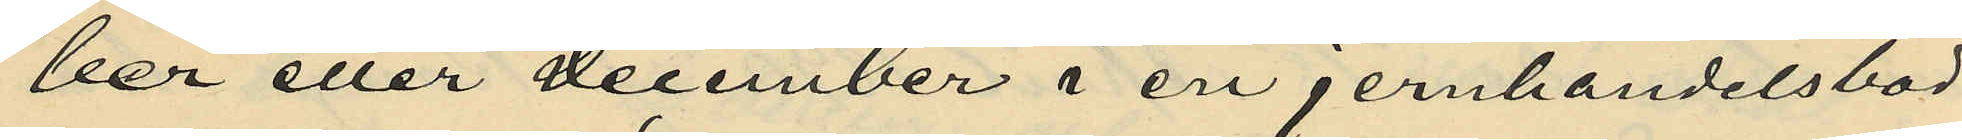ber eller December i en jernhandelsbod
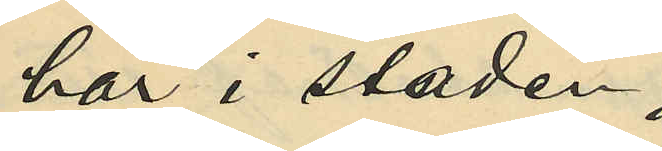här i staden;
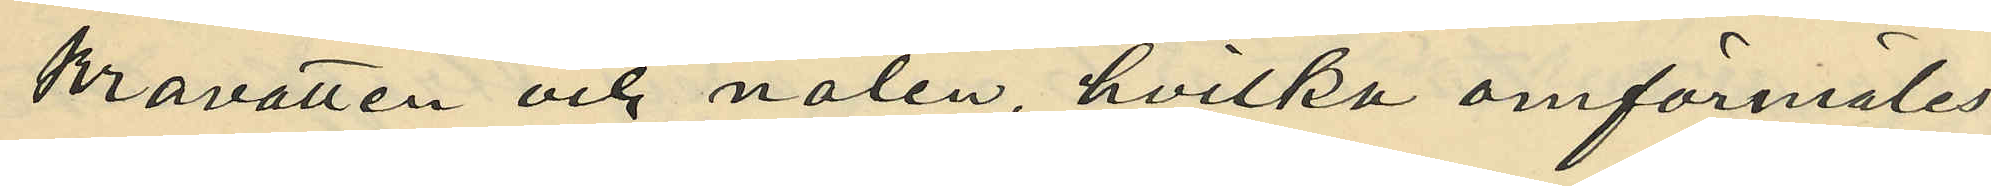kravatten och nålen, hvilka omförmäles
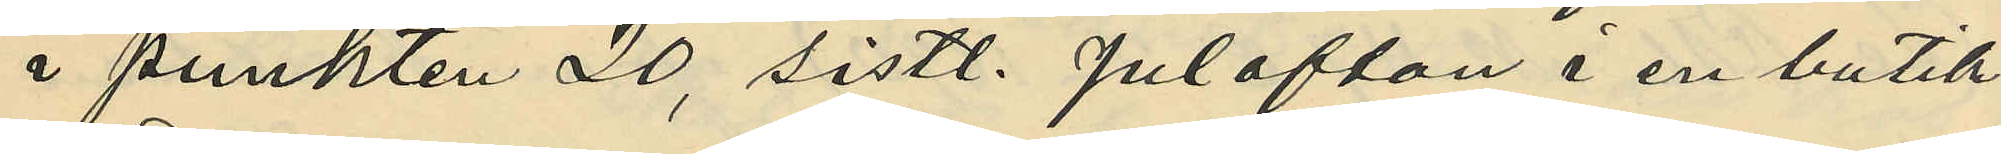i punkten 20, sistl. julafton i en butik
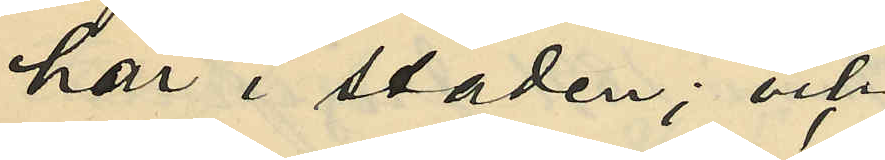här i staden; och
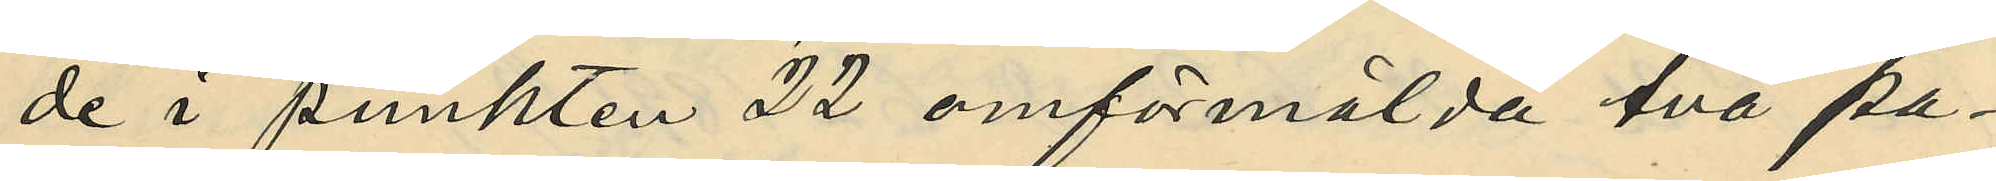de i punkten 22 omförmälda två pa¬
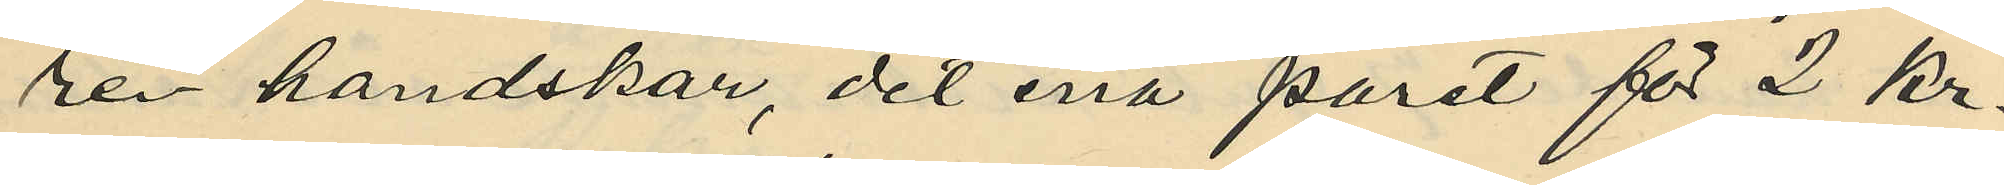ren handskar, det ena paret för 2 kr.
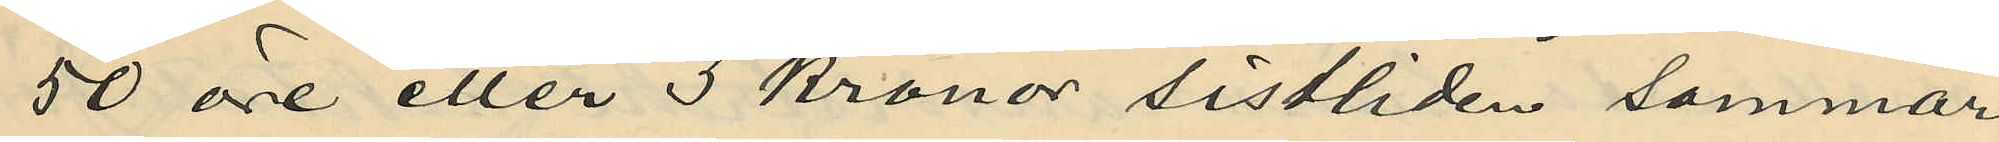50 öre eller 3 kronor sistliden sommar
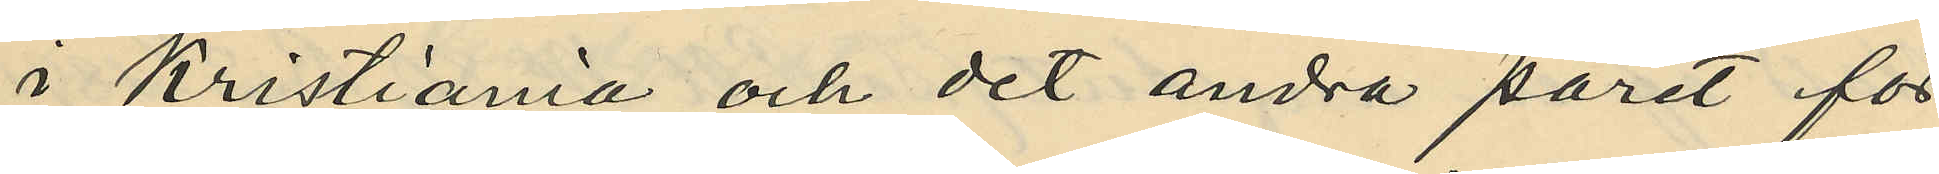i Kristiania och det andra paret för
